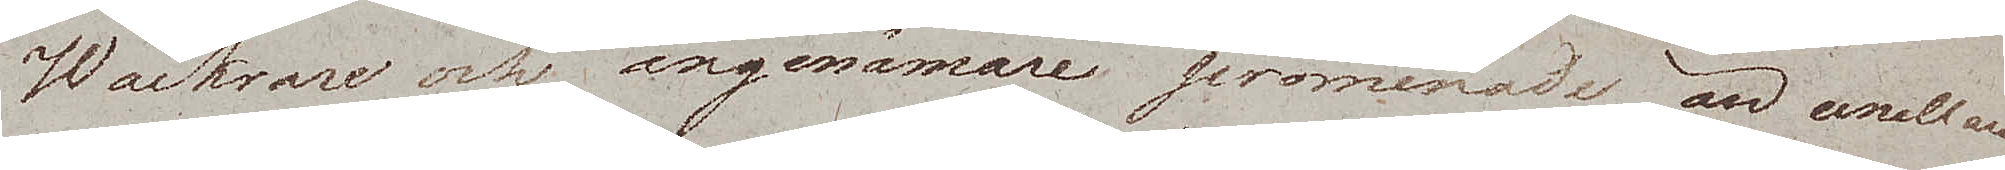Wackrare och angenämare promenade än emellan
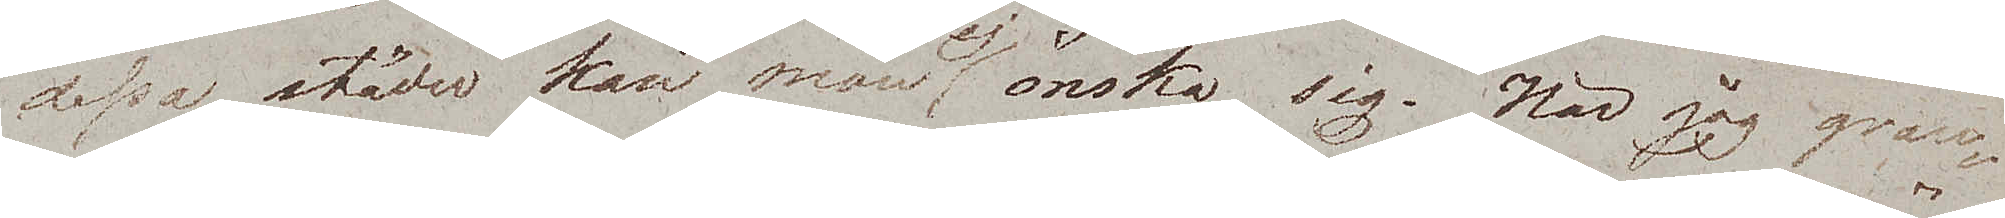dessa städer kan man ej önska sig. När jag gran¬
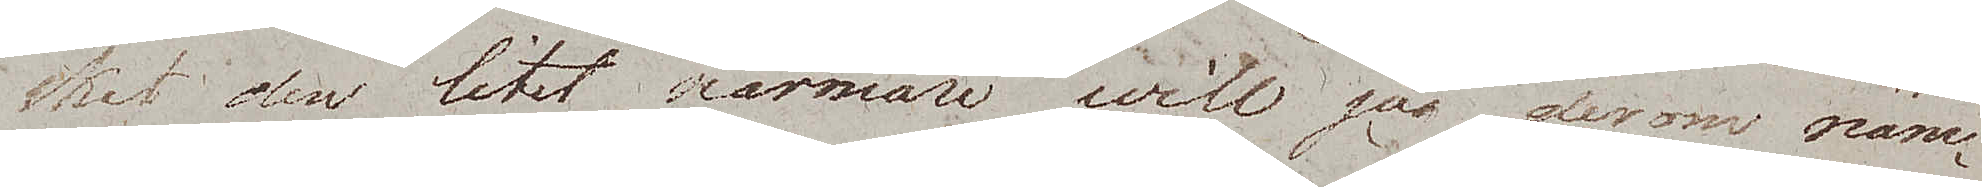skat den litet närmare will jag derom näm¬
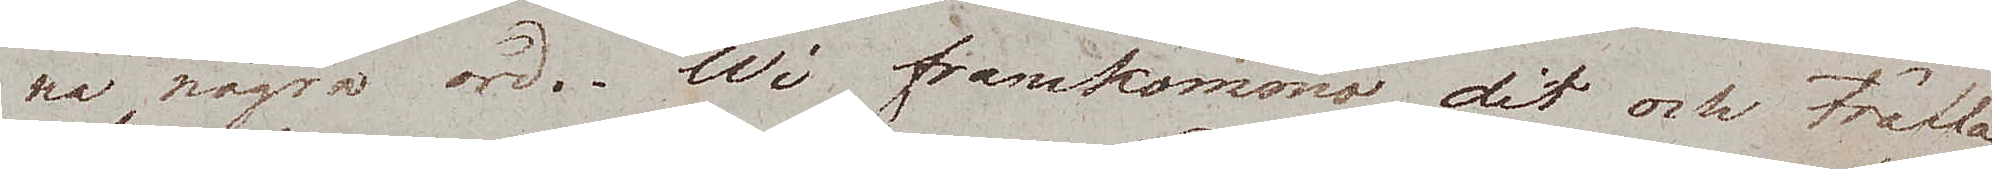na några ord. Wi framkommo dit och träffa¬
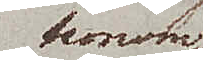honom
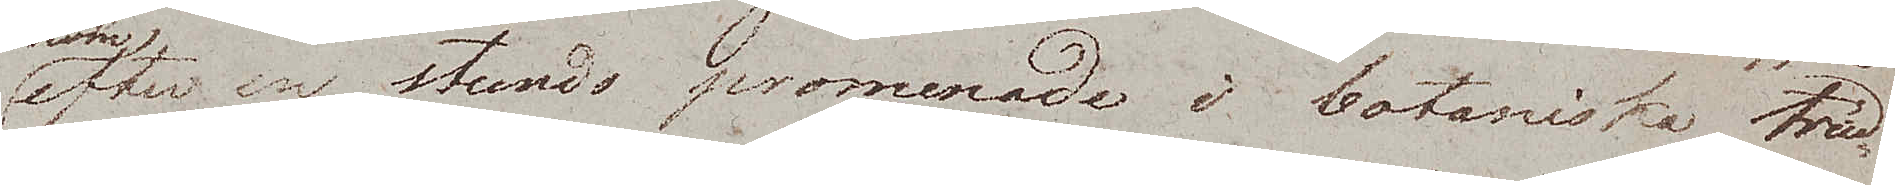efter en stunds promenade i botaniska träd¬
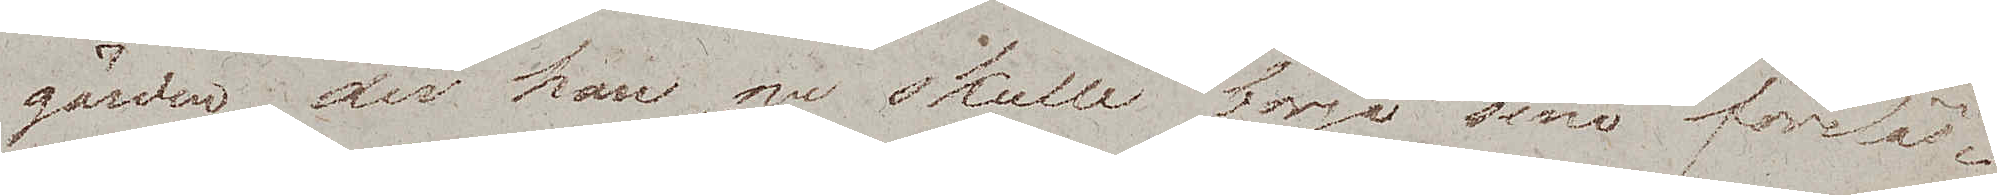gården, der han nu skulle börja sina föreläs¬
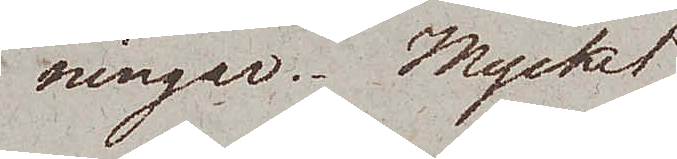ningar. Mycket
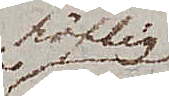höflig
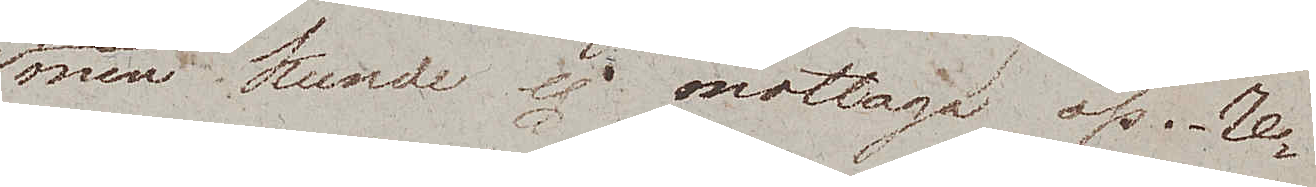men kunde ej mottaga oss. Re¬
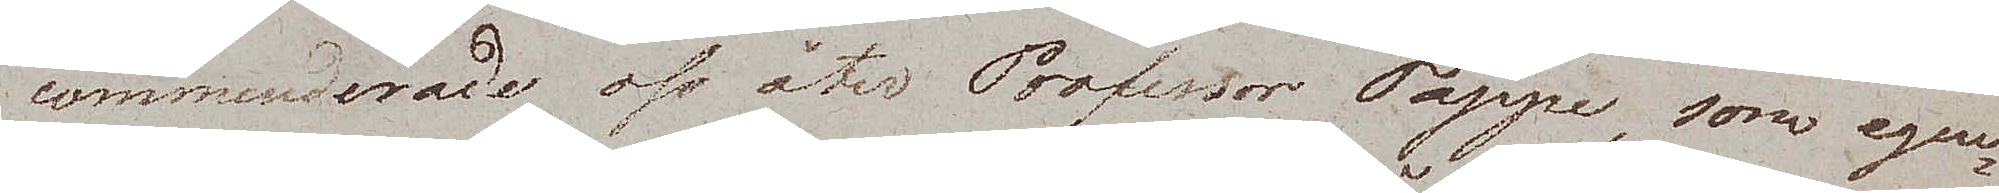commenderade oss åter Professor Tappe, som egen¬
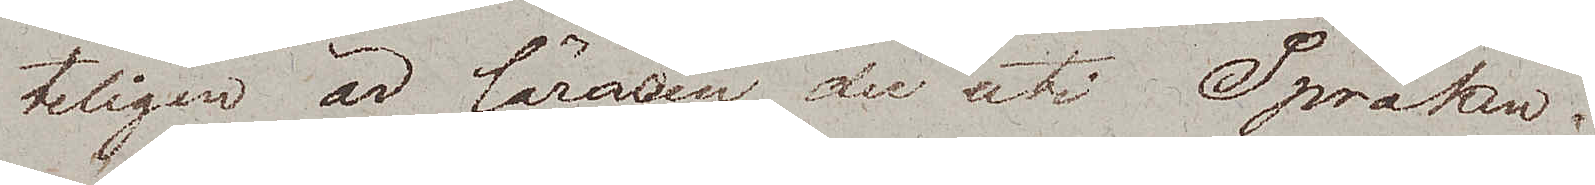teligen är läraren der uti Språken.
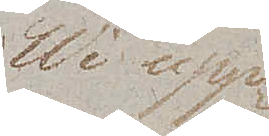Wi upp¬
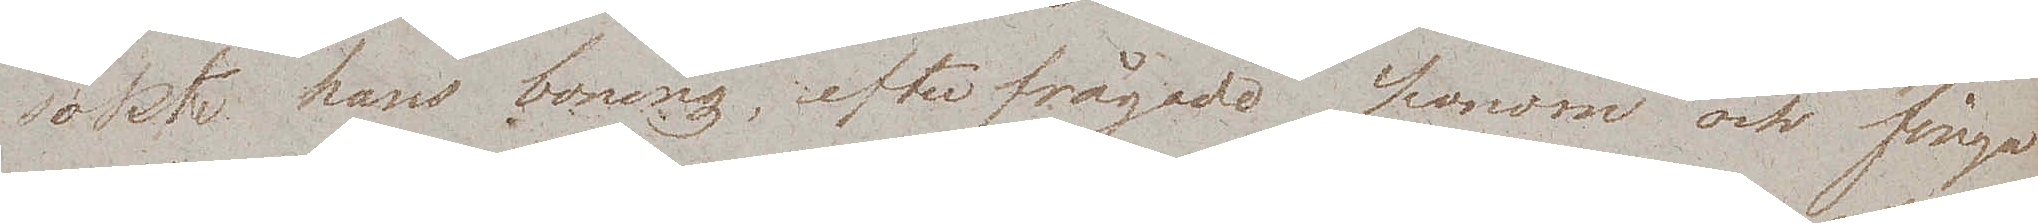sökte hans boning, efterfrågade honom och fingo
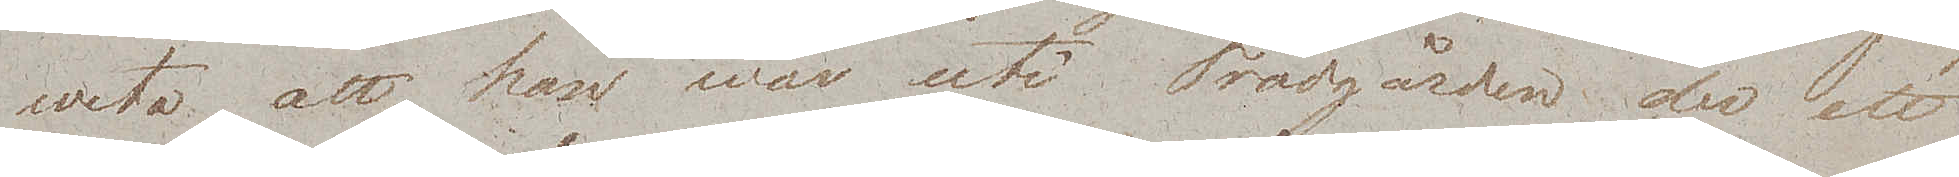weta att han war uti Trädgården, der ett
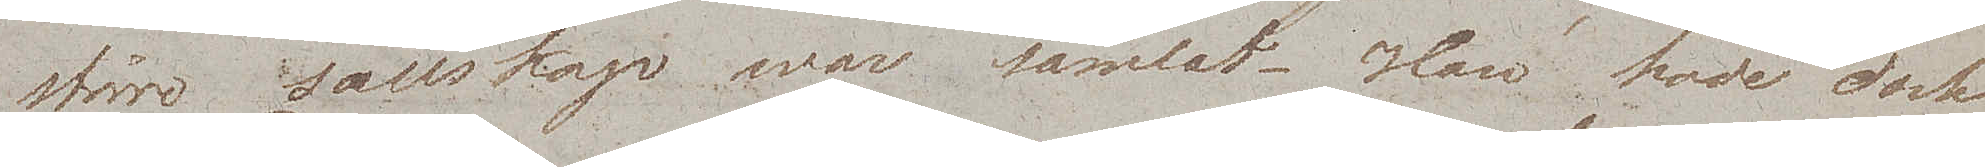större sällskap war samlat. Han hade dock
